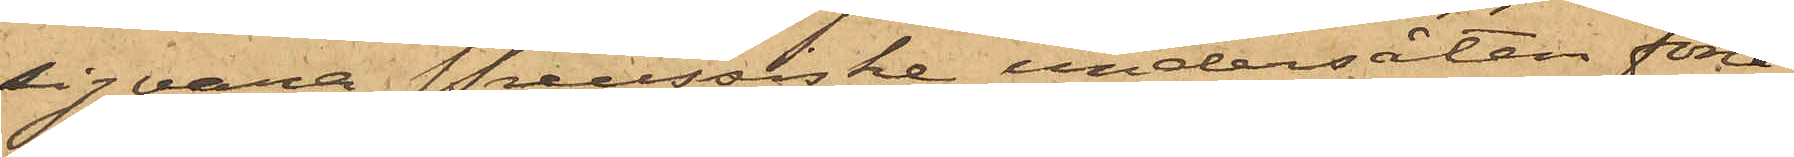sig vara Preussiske undersåten förre
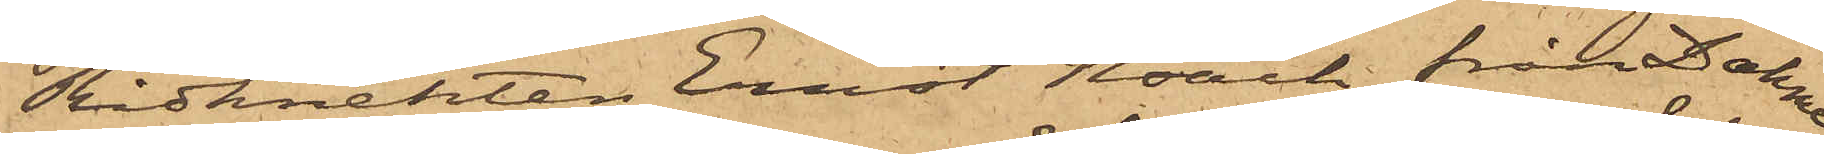Ridknekten Ernst Noach från Dahme
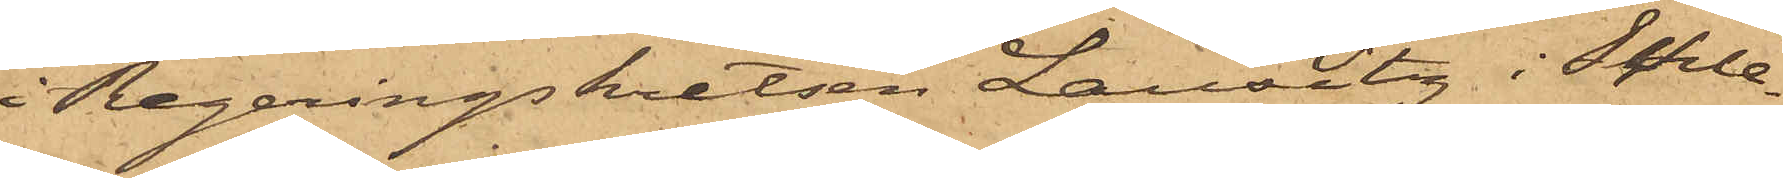i Regeringskretsen Lausitz i Schle¬
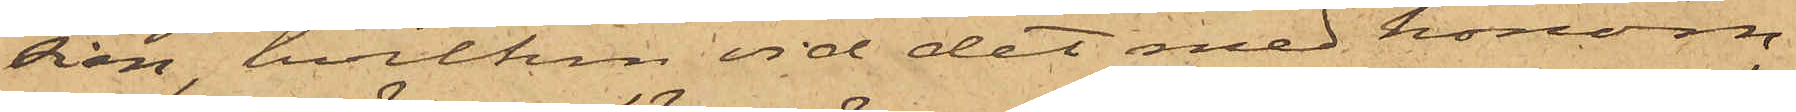sien, hvilken vid det med honom
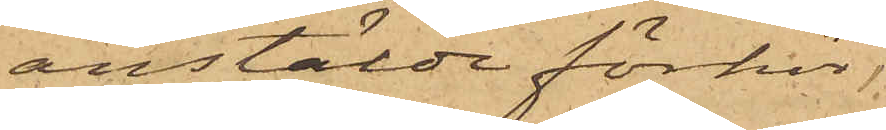anstälde förhör,
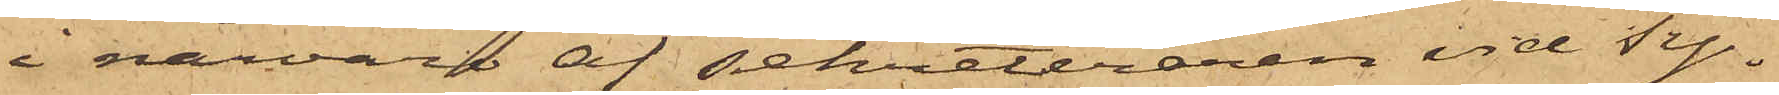i närvaro af sekreteraren vid Ty¬
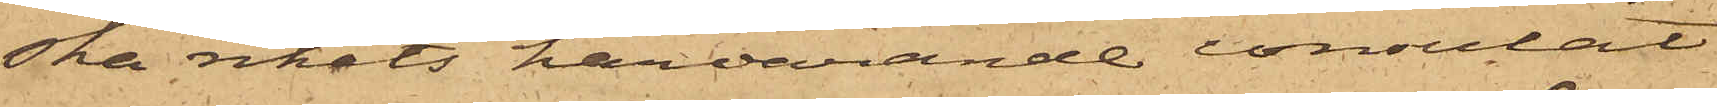ska rikets härvarande consulat
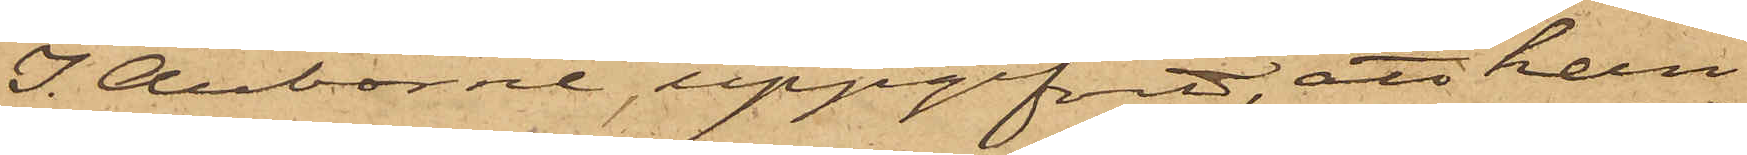I. Auborne, uppgifvit, att han
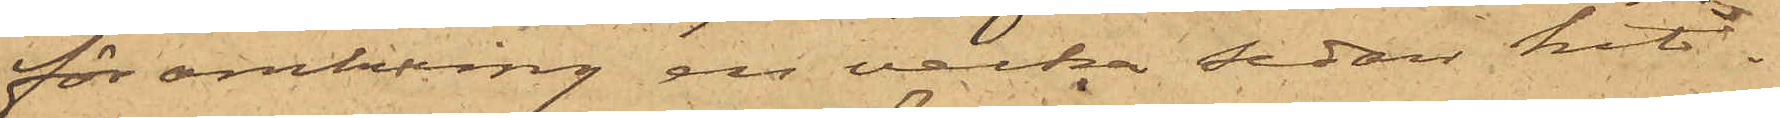för omkring en vecka sedan hit
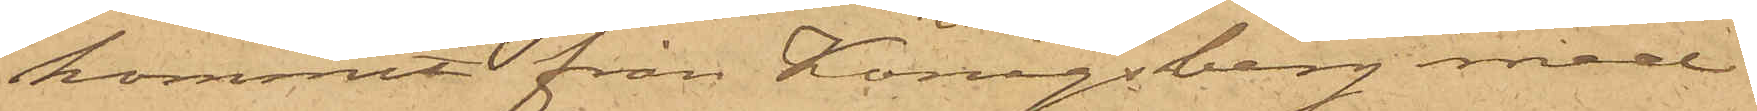kommit från Königsberg med
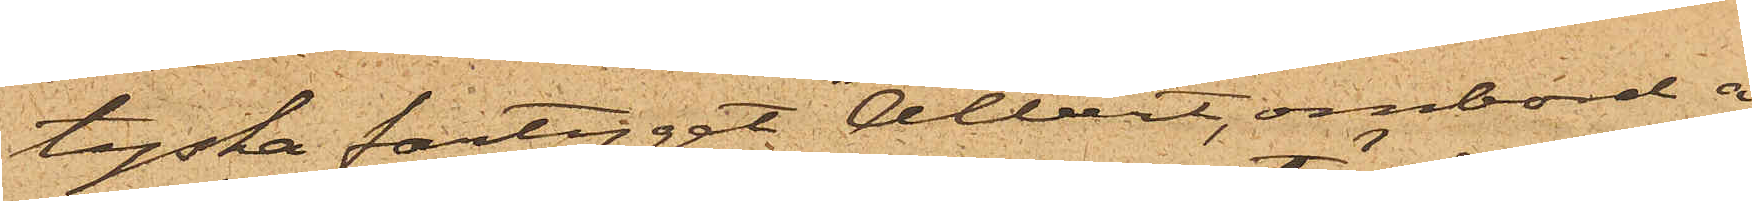tyska fartyget "Albert", ombord å
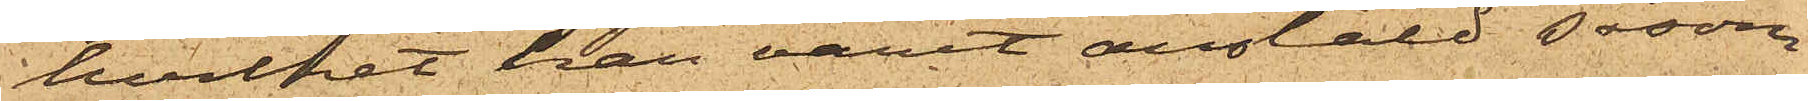hvilket han varit anstäld såsom
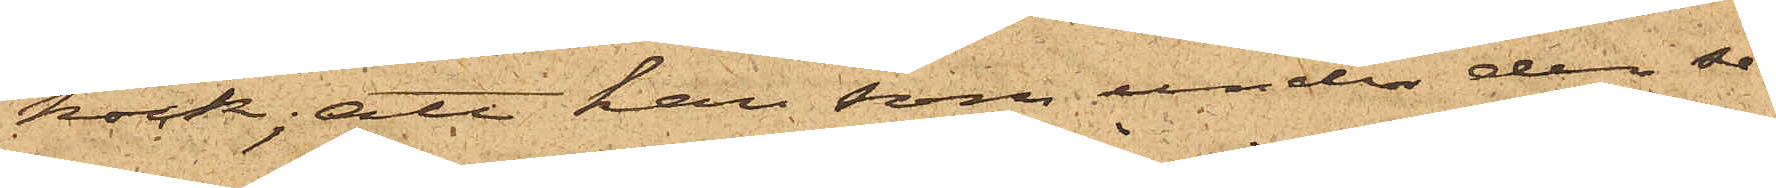kock; att han som under der se¬
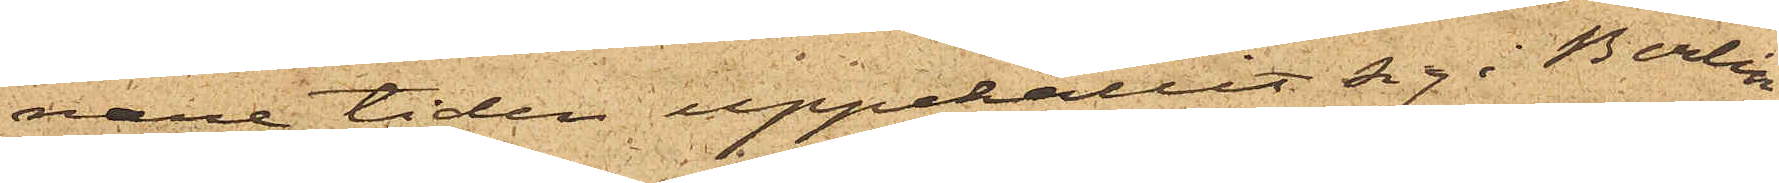nare tiden uppehållit sig i Berlin
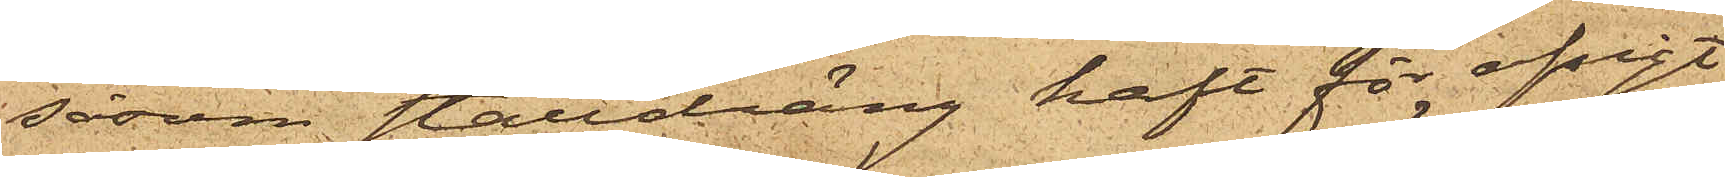såsom stalldräng haft för afsigt
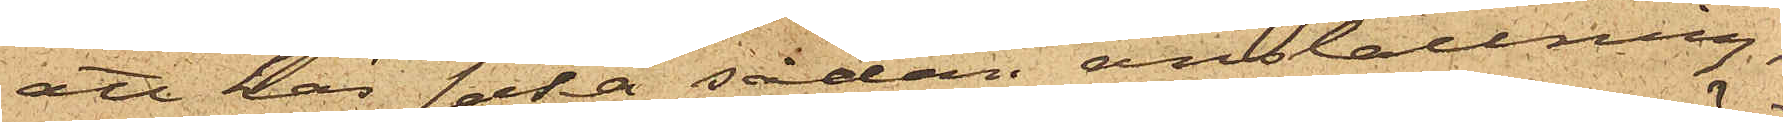att han söka sådan anställning,
